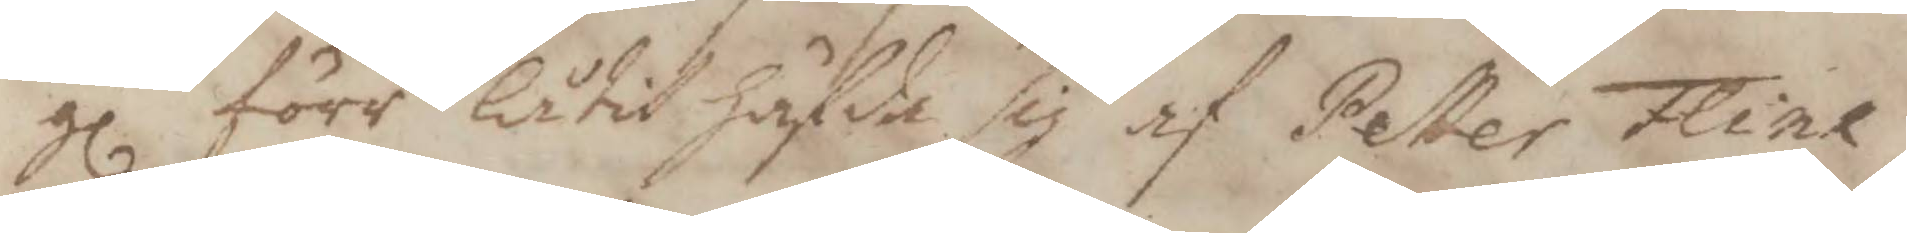gl förr låtit häfda sig af Petter Flink
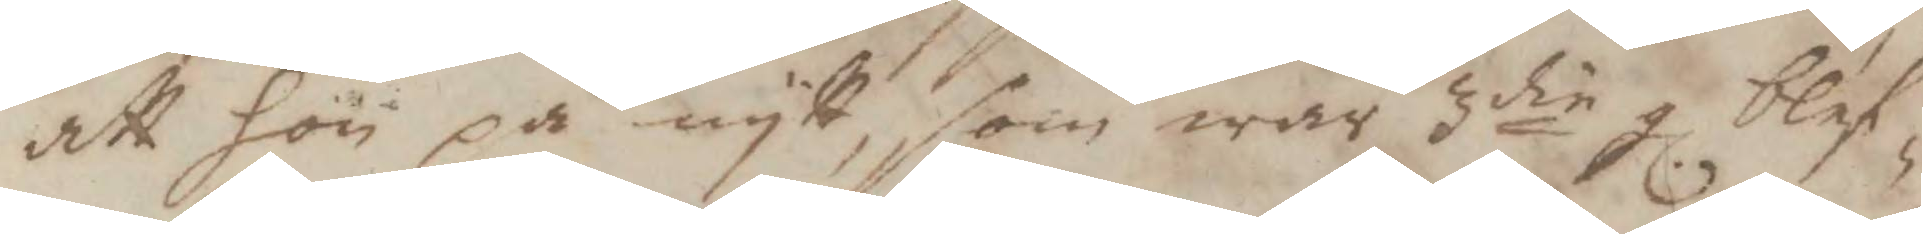att hon på nytt, som war 3die gl blef¬
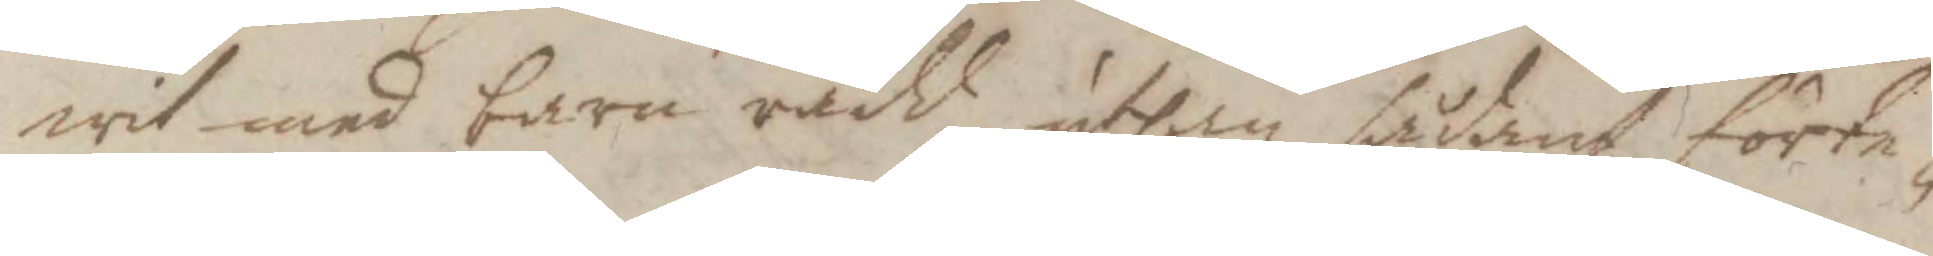wit med barn rådd, uthan sådant förte¬
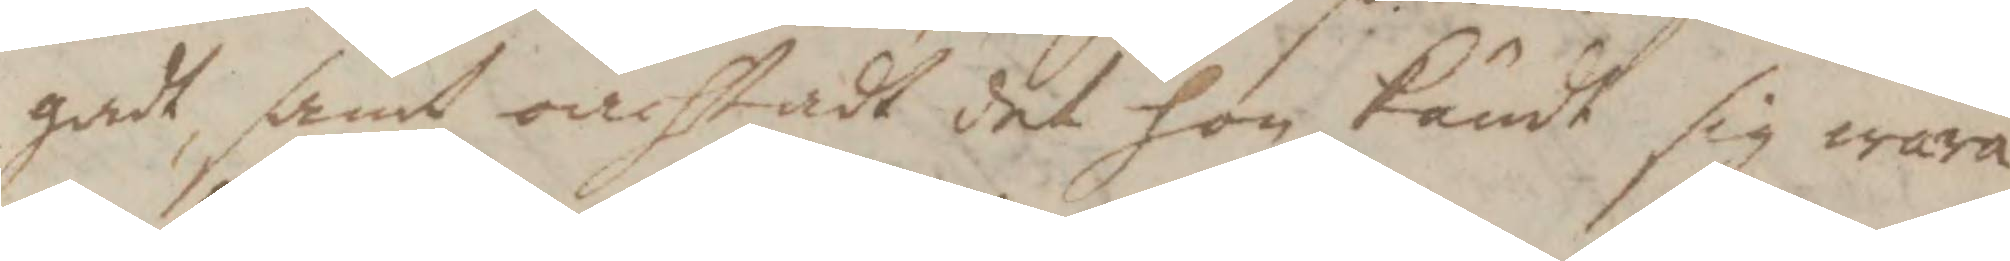gadt, samt oachtadt det hon kändt sig wara
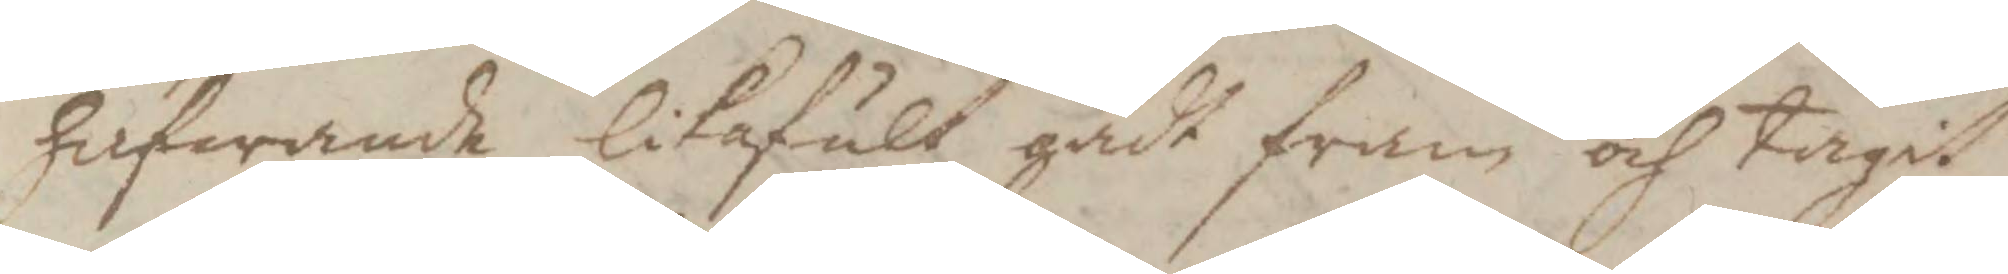hafwande likafult gådt fram och tagit
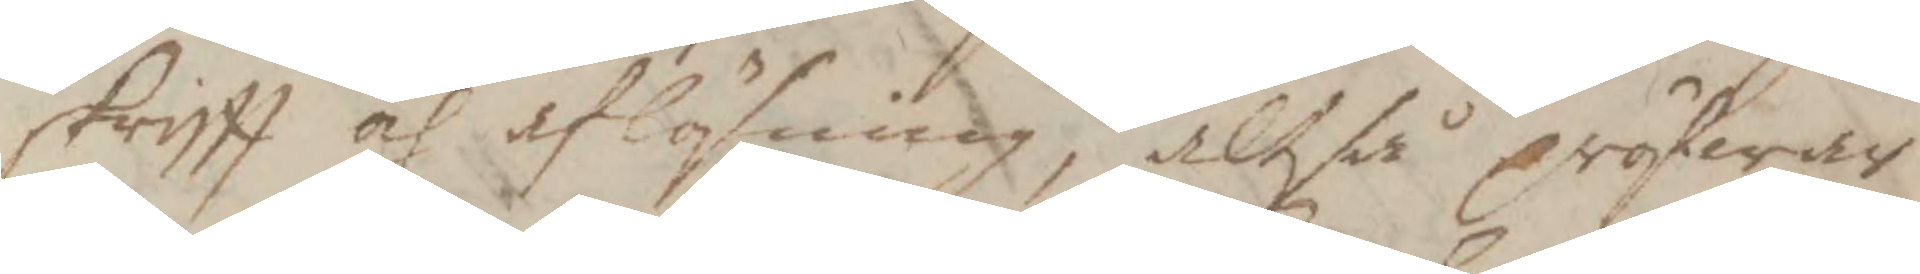skrifft och aflösning, altså pröfwar
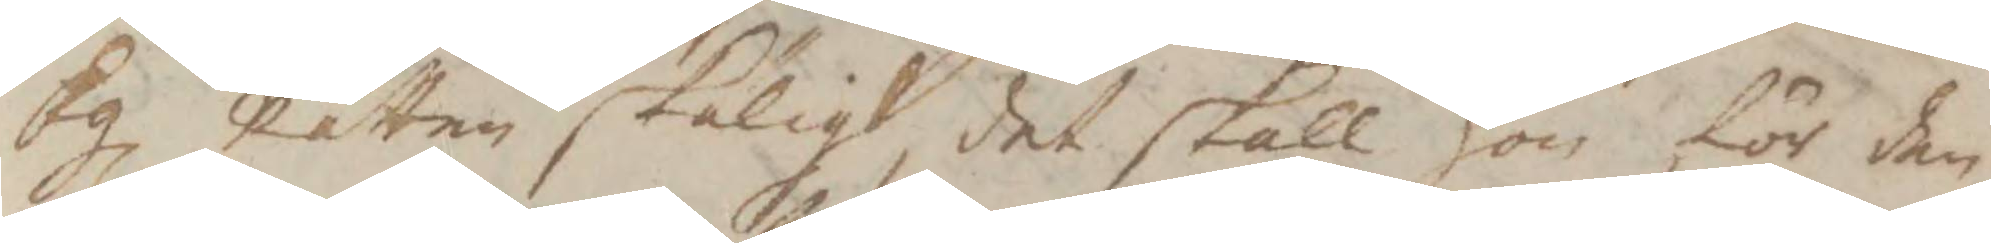Kl Rätten skäligt det skall hon för den¬
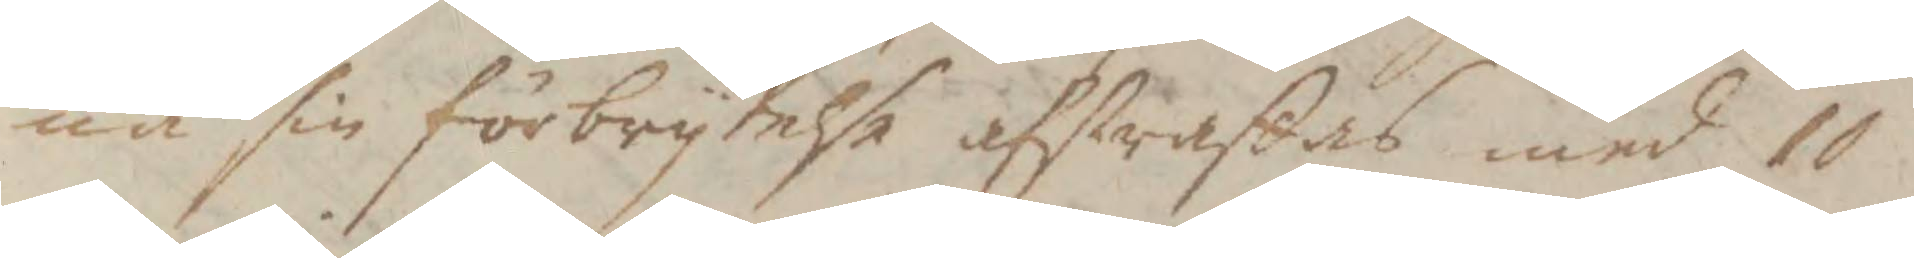na sin förbrytelse afstraffas med 10
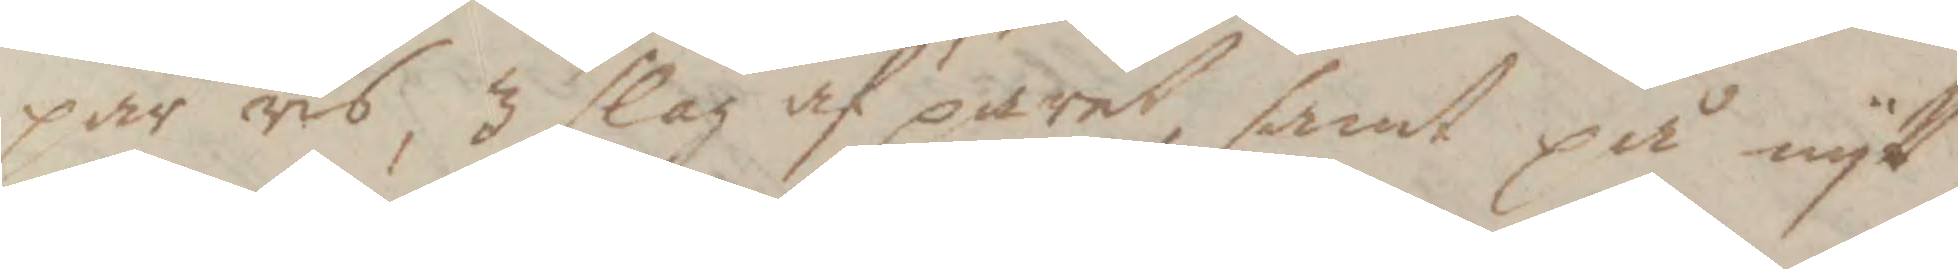par ris, 3 slag af paret, samt på nytt
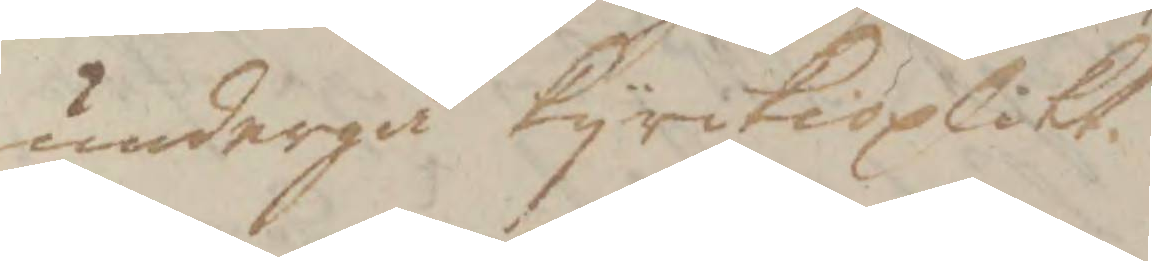undergå kyrkioplikt.
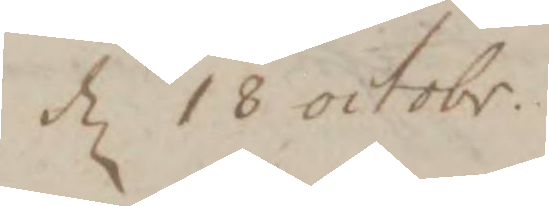d 18 octobr.
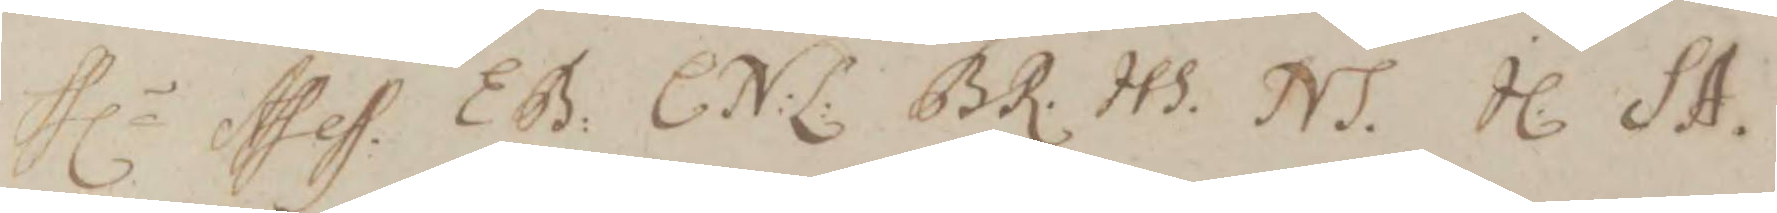Hlr Assess. EB. C:N:L: BR. HS. NS. IL. SA.
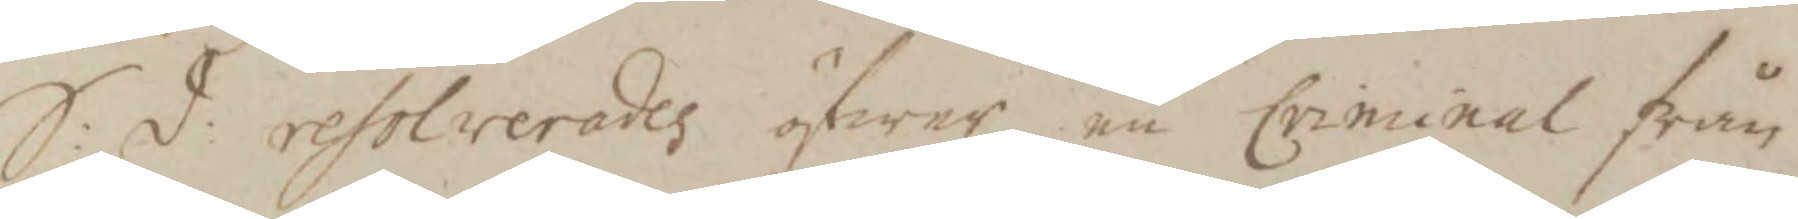S: d: resolverades öfwer en Criminal från
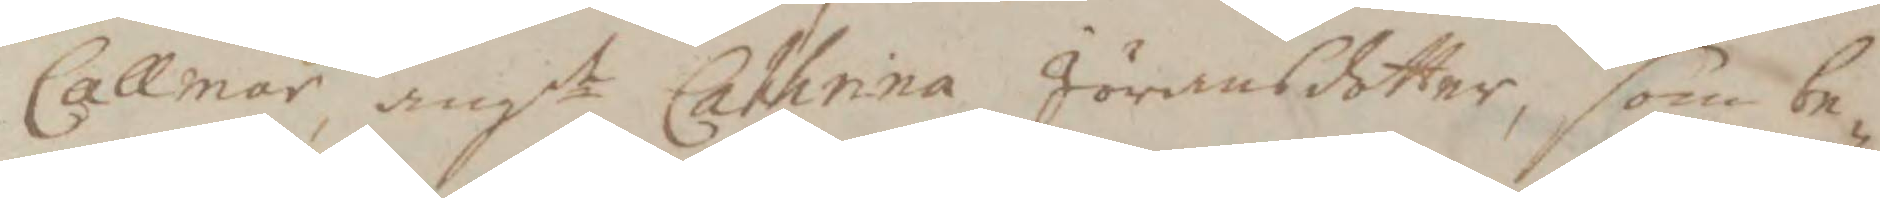Callmar, angdt Cathrina Jöransdotter, som be¬
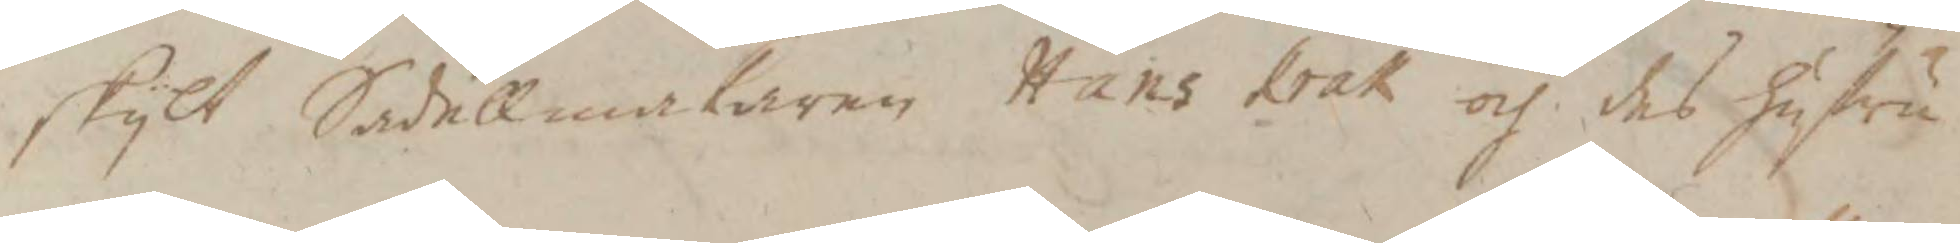skylt Sadellmakaren Hans Krak och des hustru
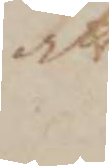att
